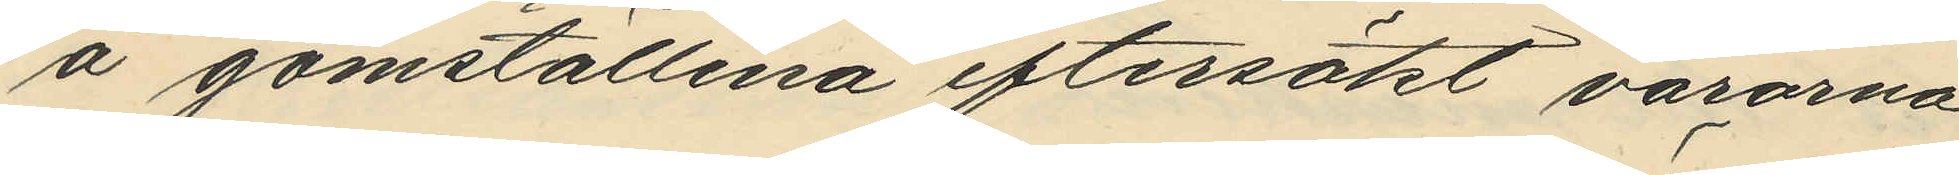å gömställena eftersökt varorna
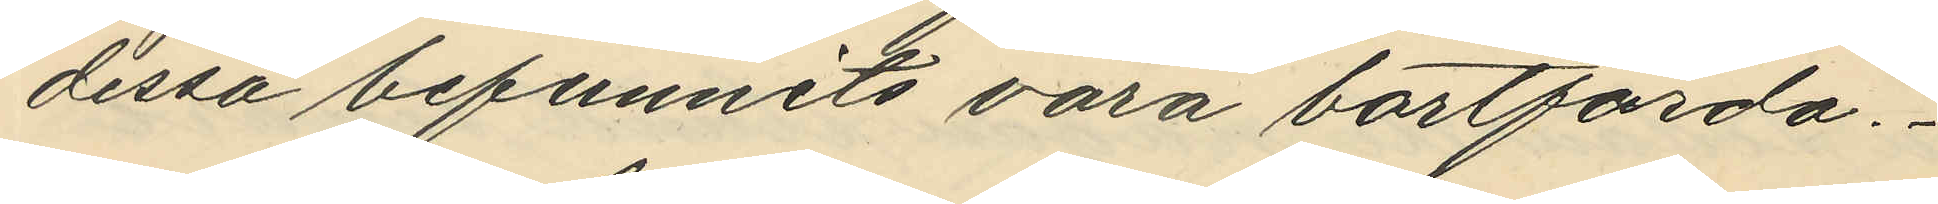dessa befunnits vara bortförda.
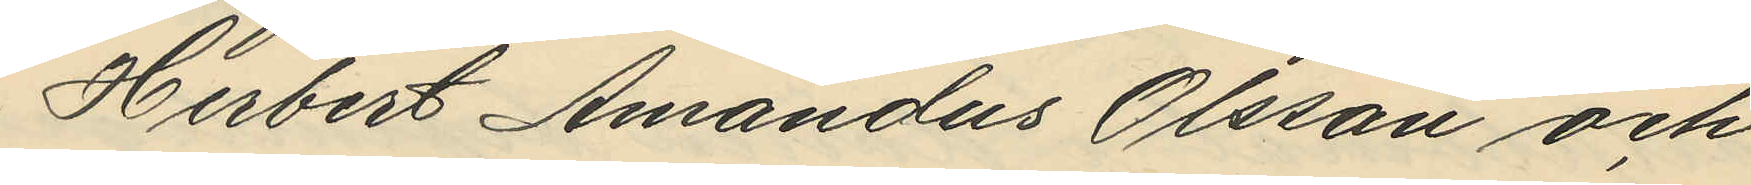Herbert Amandus Olsson och
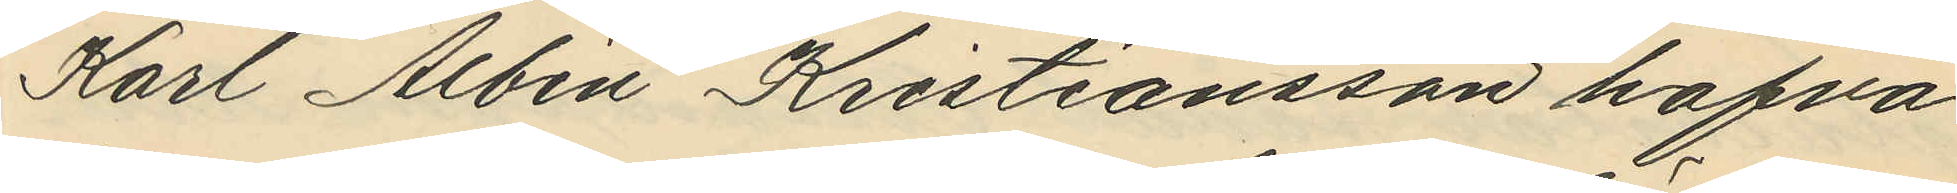Karl Albin Kristiansson hafva
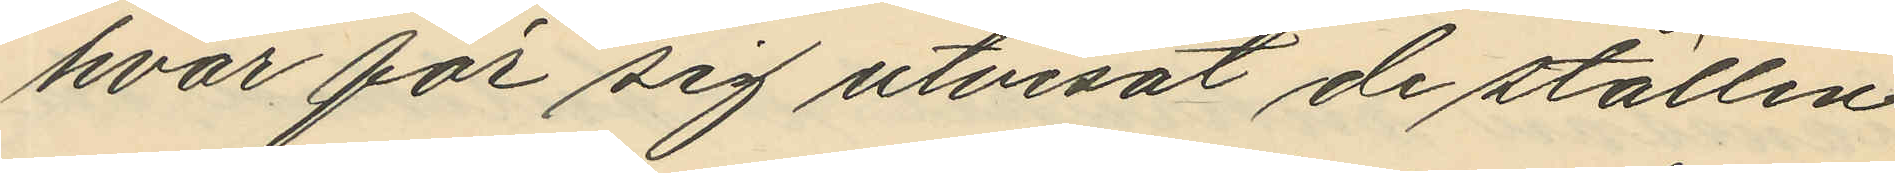hvar för sig utvisat de ställen
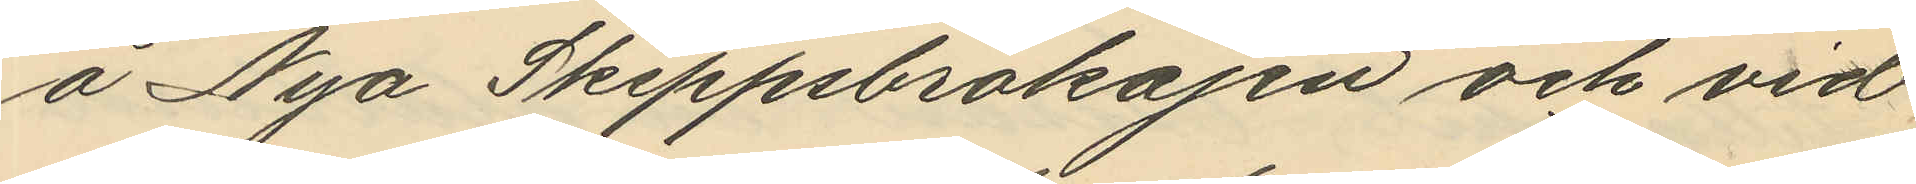å Nya Skeppsbrokajen och vid
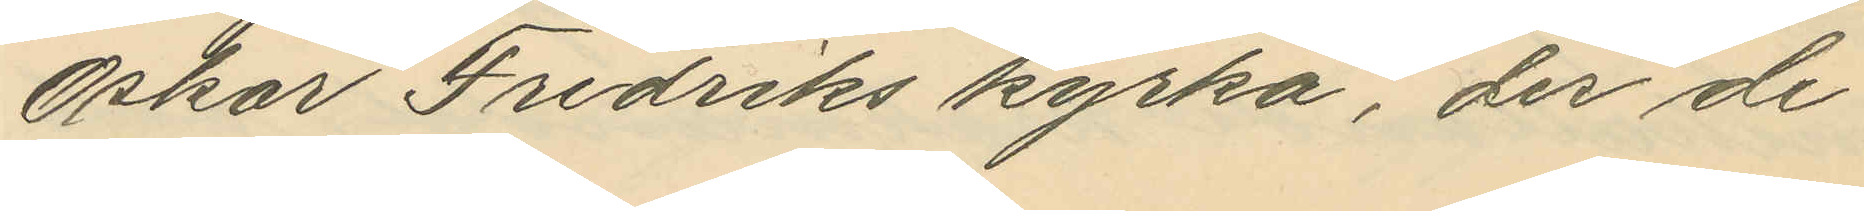Oskar Fredriks kyrka, der de
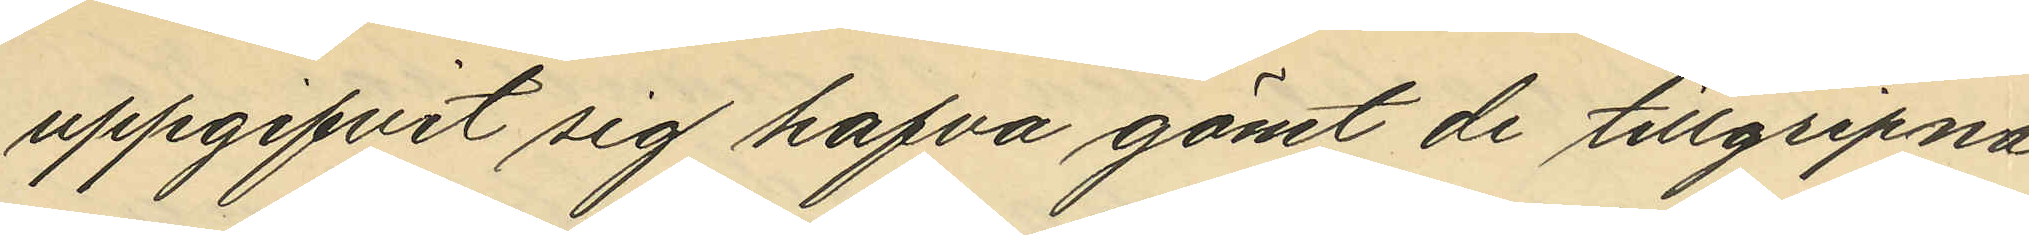uppgifvit sig hafva gömt de tillgripna
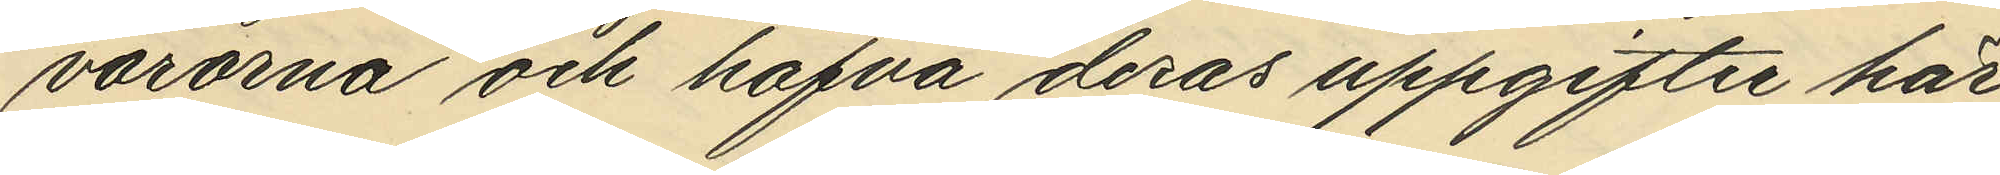varorna och hafva deras uppgifter här
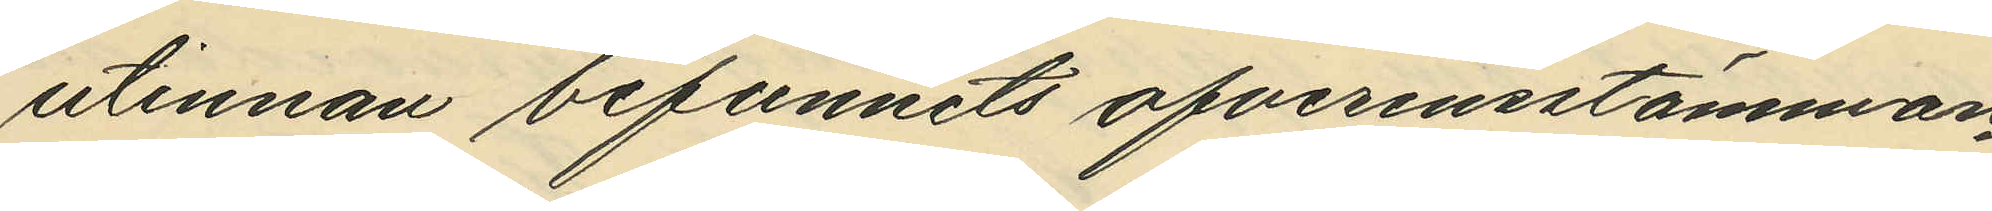utinnan befunnits ofverensstämman¬
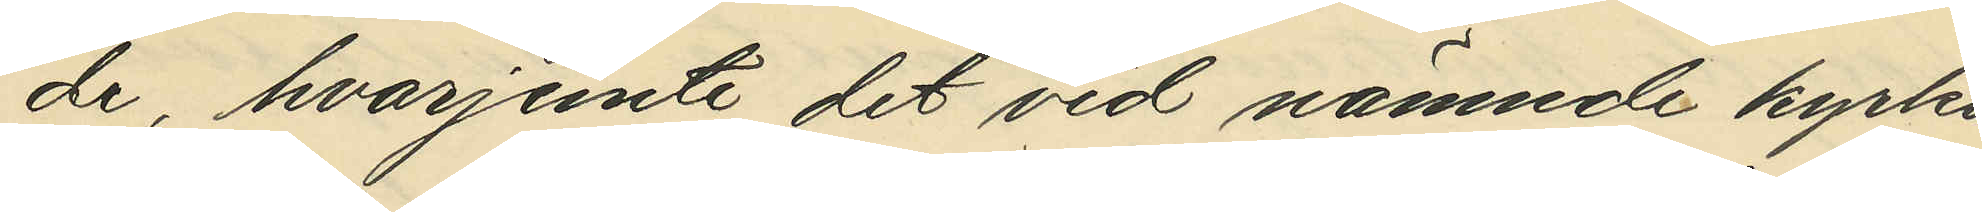de, hvarjemte det vid nämnde kyrka
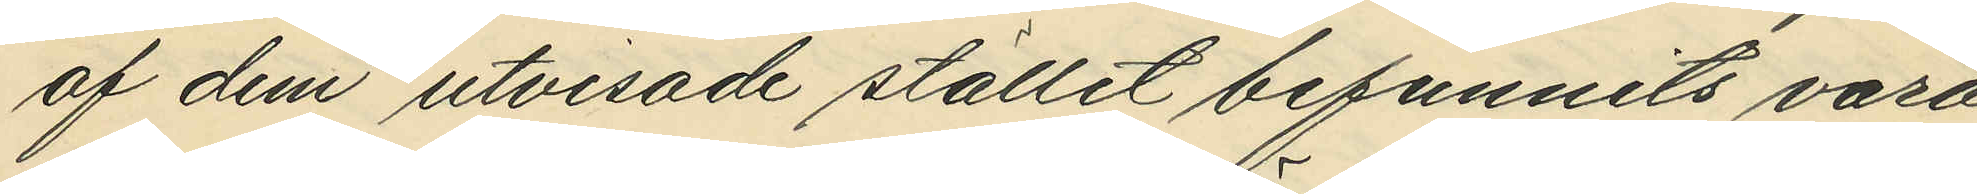af dem utvisade stället befunnits vara
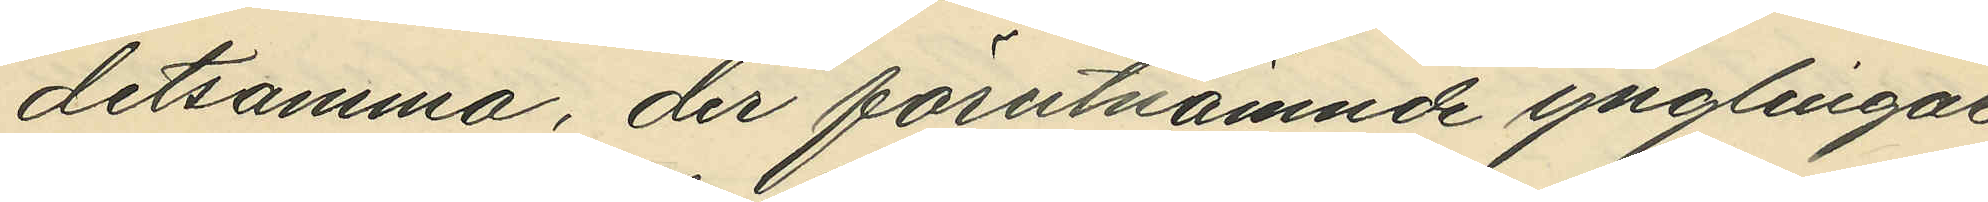detsamma, der förutnämnde ynglingar
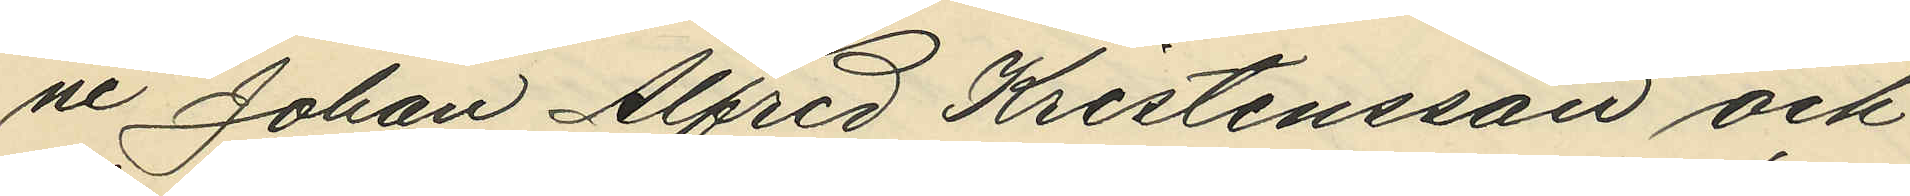ne Johan Alfred Kristensson och
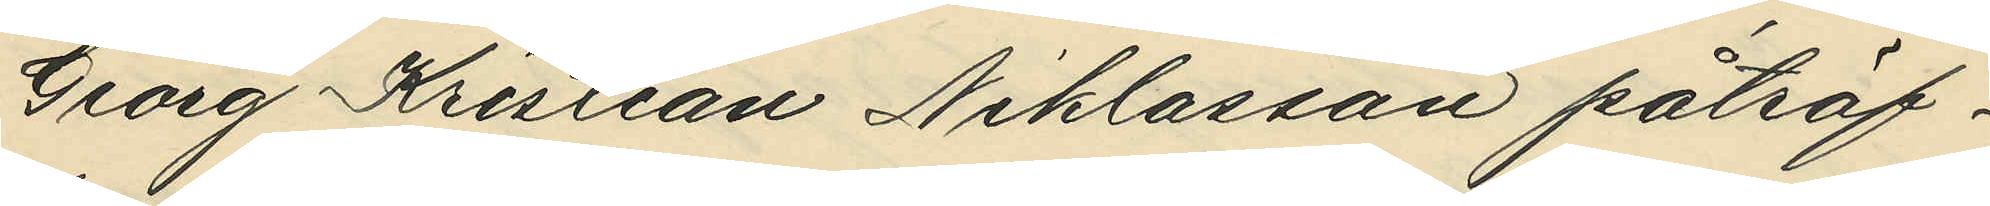Georg Kristian Niklasson påträf¬
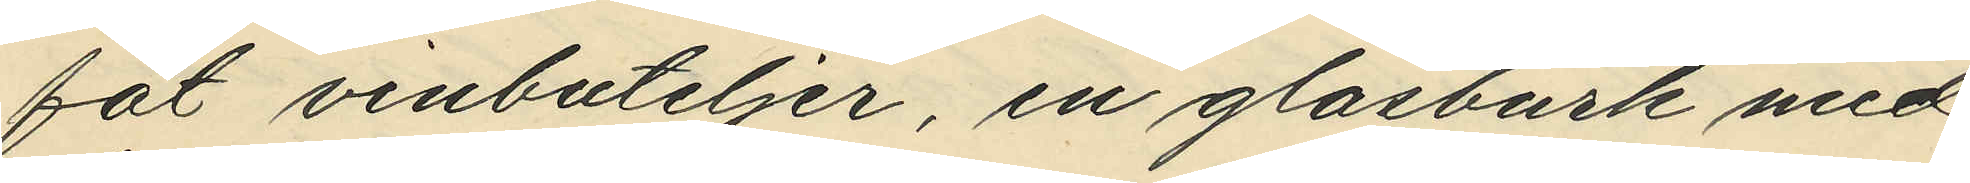fat vinbuteljer, en glasburk med
